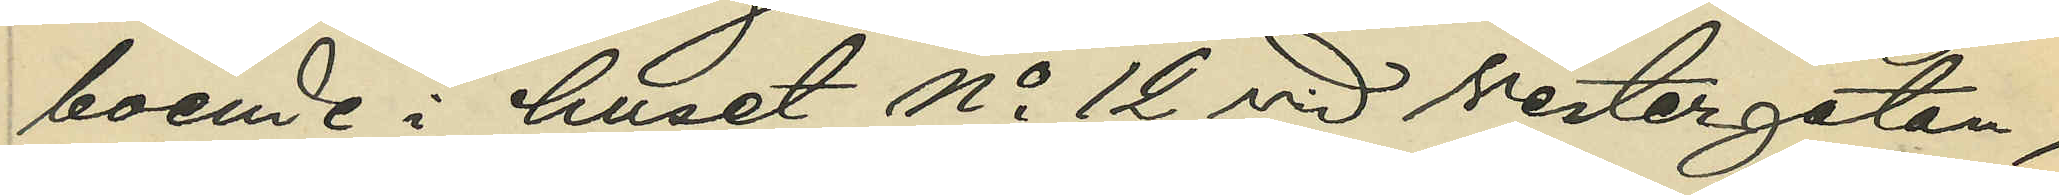boende i huset No 12 vid Vestergatan,
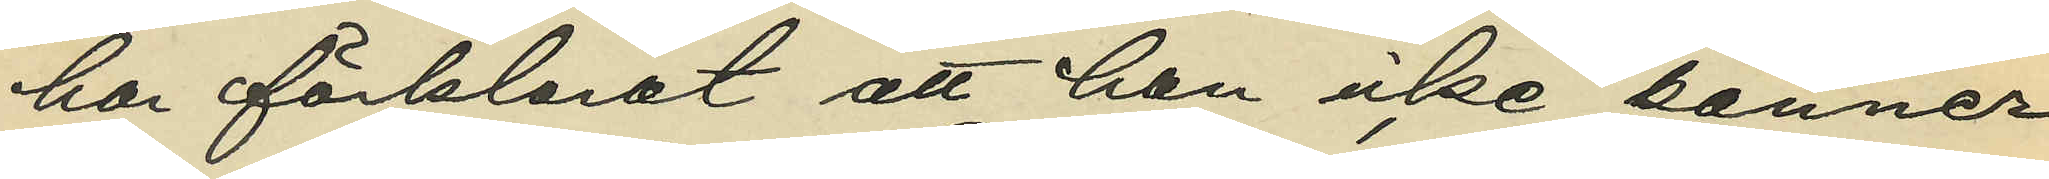har förklarat att han icke känner
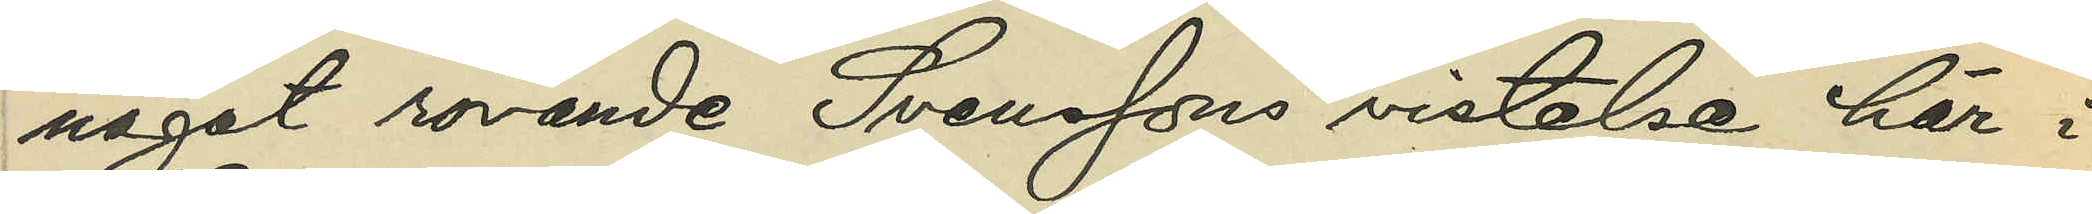något rörande Svenssons vistelse här i
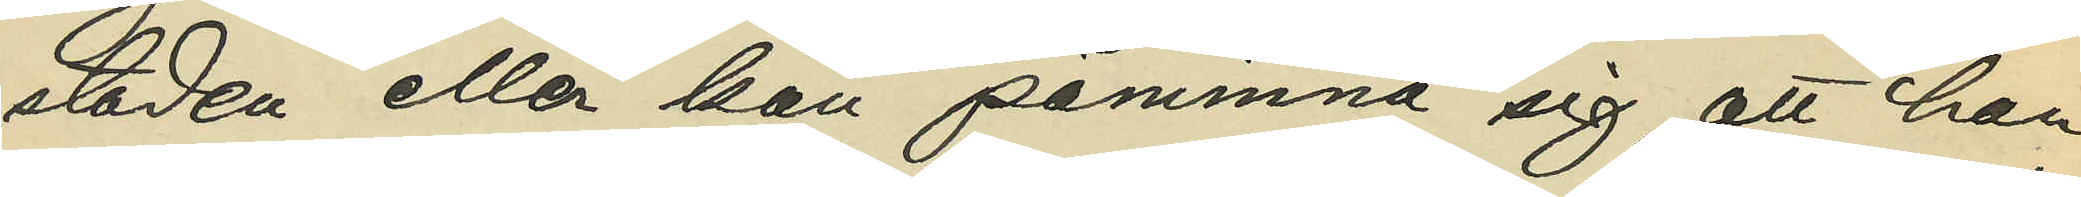staden eller kan påminna sig, att han
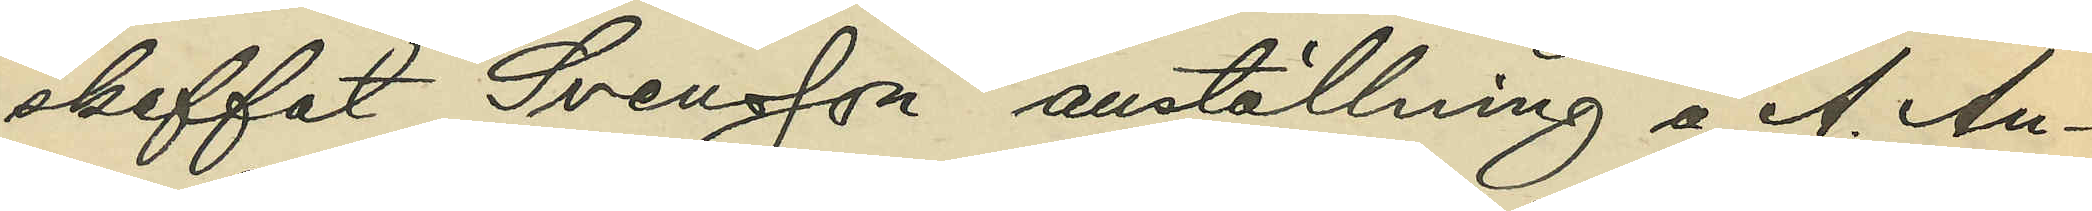skaffat Svensson anställning å A. An¬
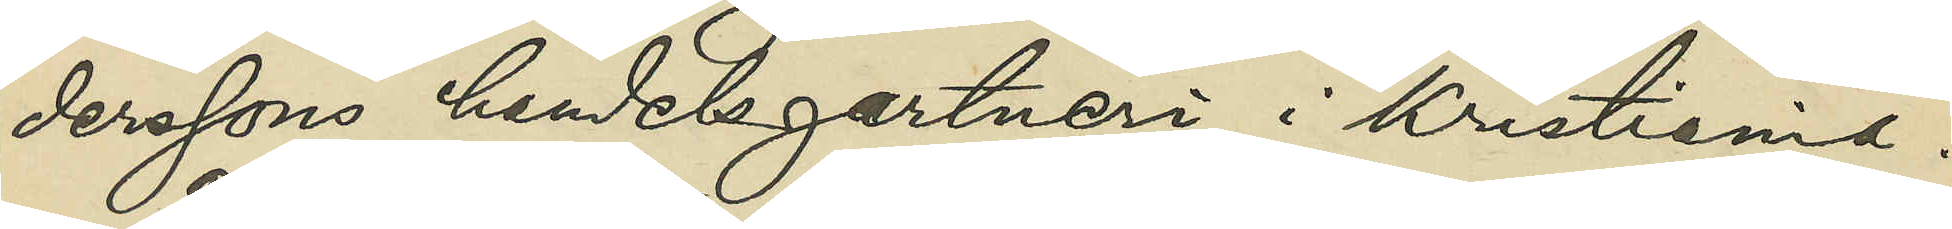derssons handelsgartneri i Kristiania.
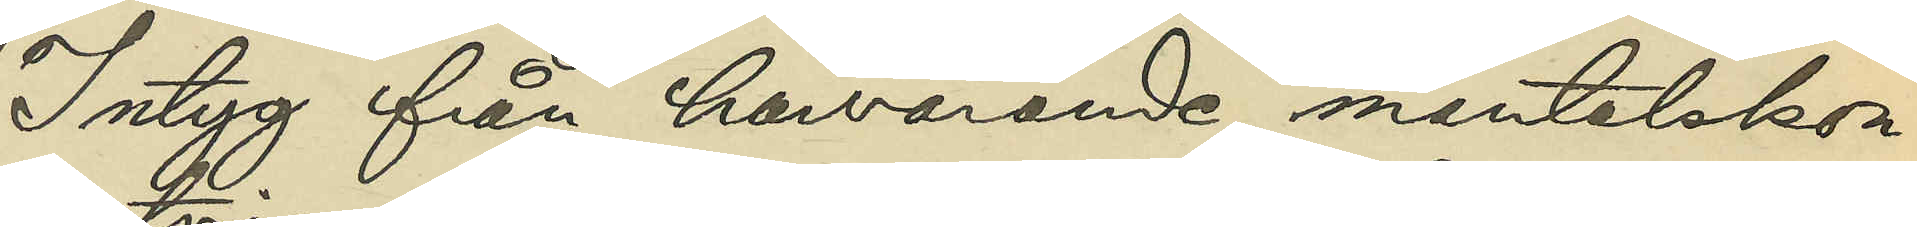Intyg från härvarande mantalskon¬
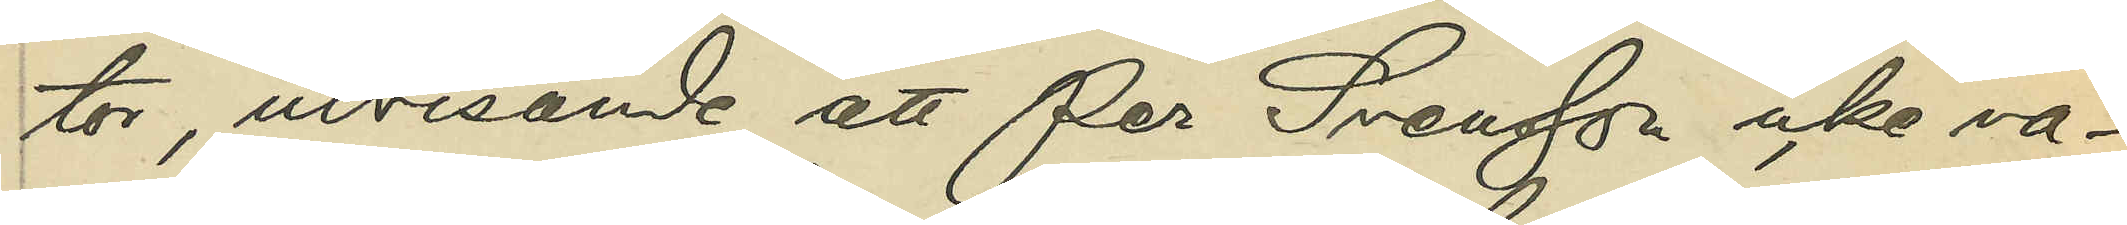tor, utvisande att Per Svensson icke va¬
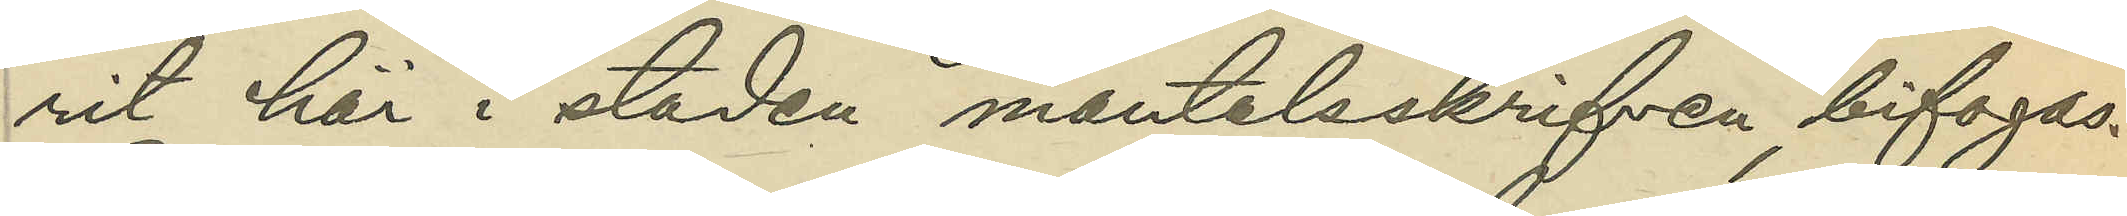rit här i staden mantalsskrifven, bifogas.
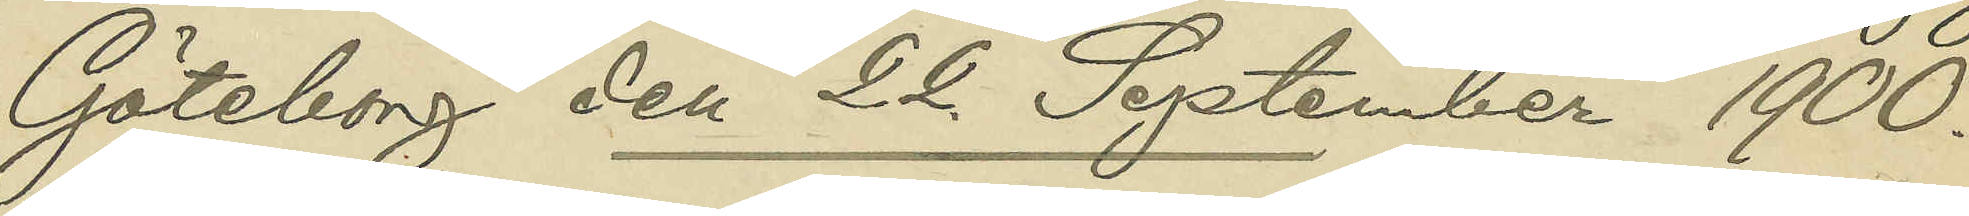Göteborg den 22 September 1900.
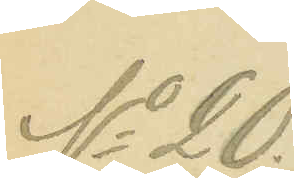No 20.
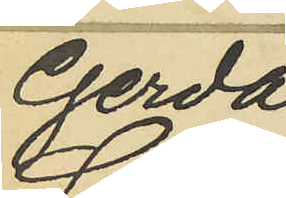Gerda
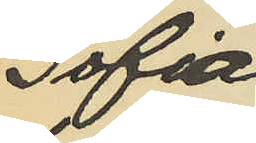Sofia
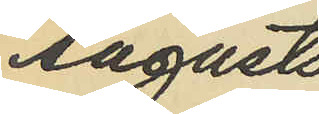Augusts¬
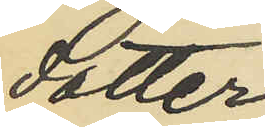dotter.
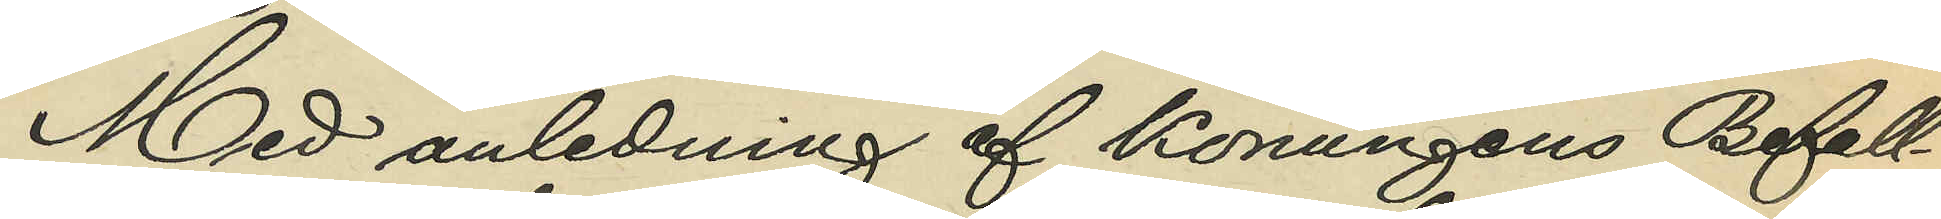Med anledning af Konungens Befall¬
